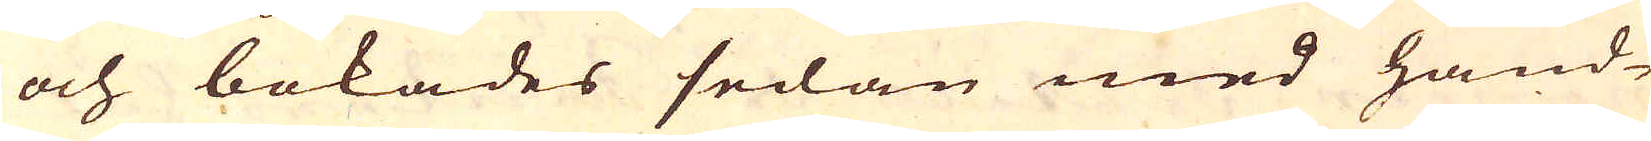och bokades sedan med hand-
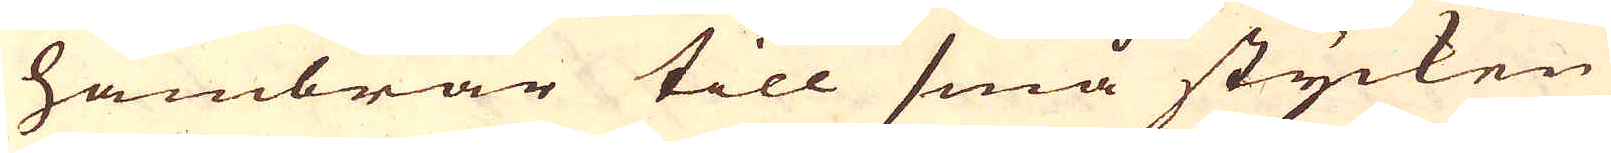hambrar till små stycken
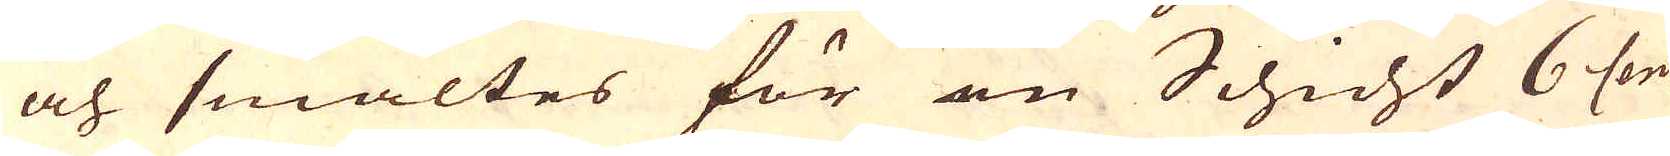och smältes för en Schicht 6 Cent:
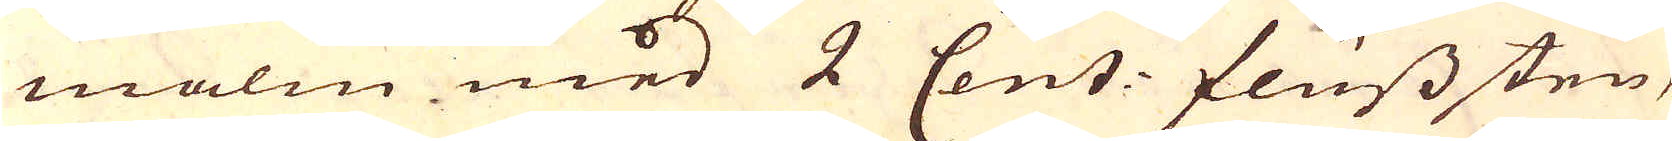malm med 2 Cent: fluss sten,
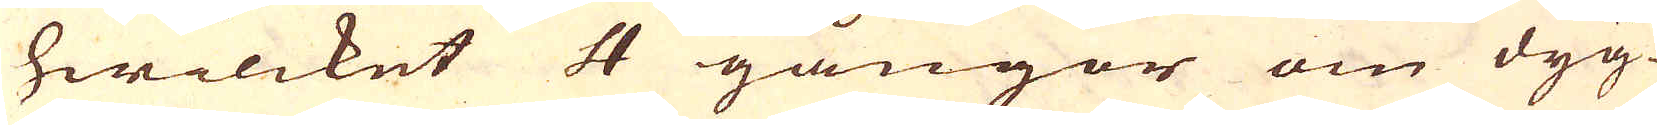hwilcket 4 gångor om dyg-
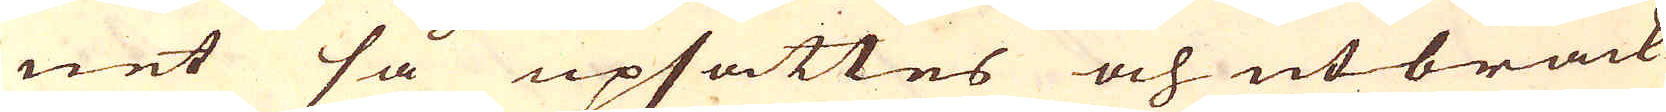net så upsattes och utbrack-
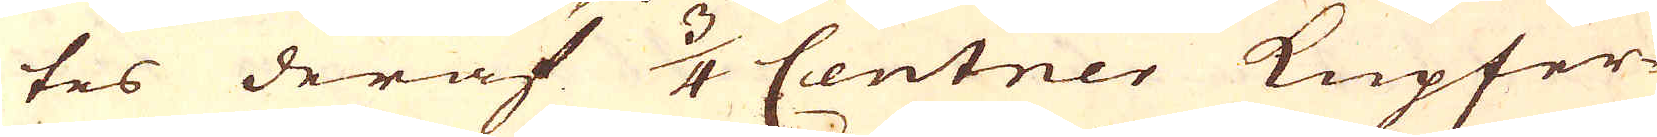tes deraf 3/4 Centner Kupfer-
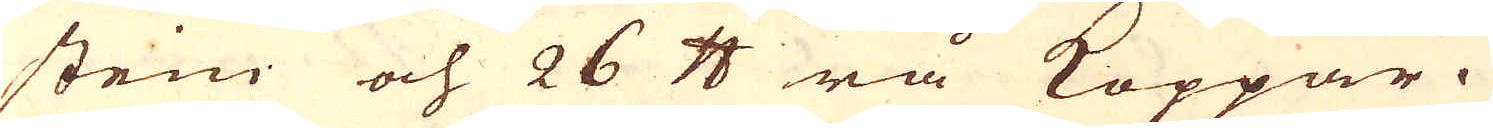stein och 26 skålpund rå Koppar.
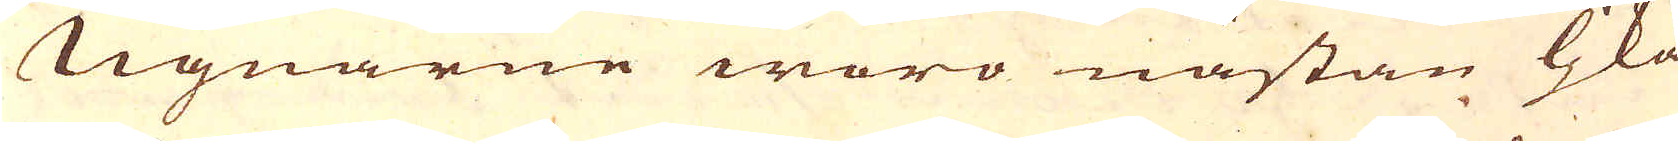Ugnarne woro nästan ljka
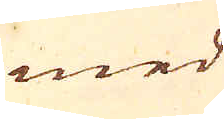med
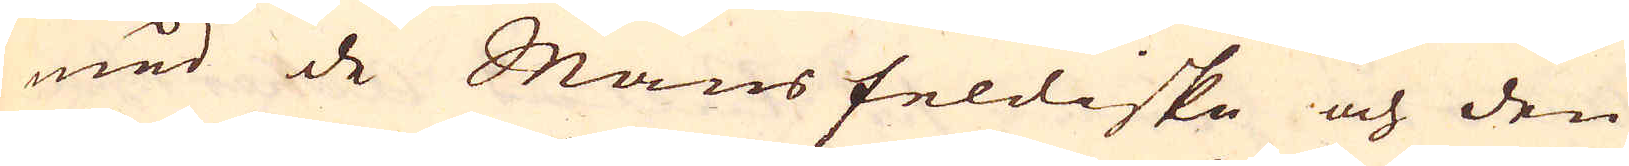med de Mansfeldiske och den
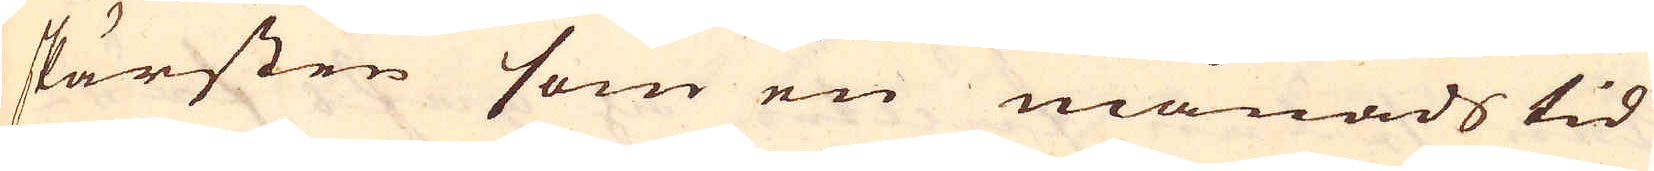skärsten som en månads tid
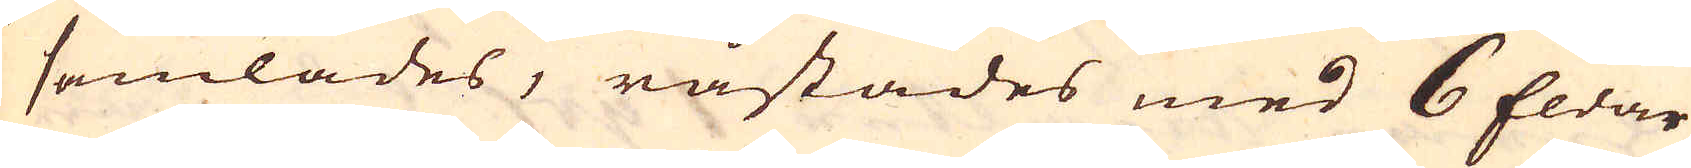samlades, råstades med 6 Eldar
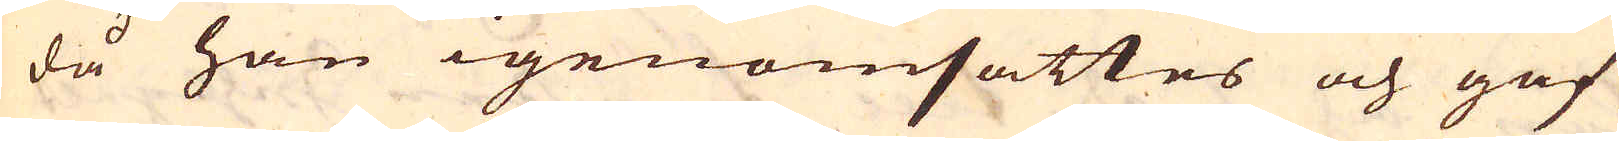då han igenomsattes och gaf
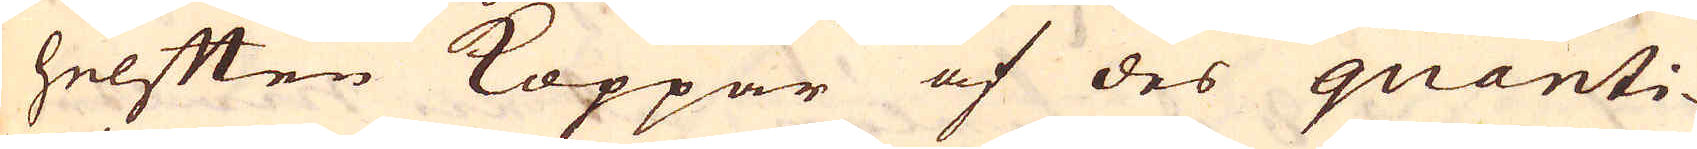helften Koppar af des quanti-
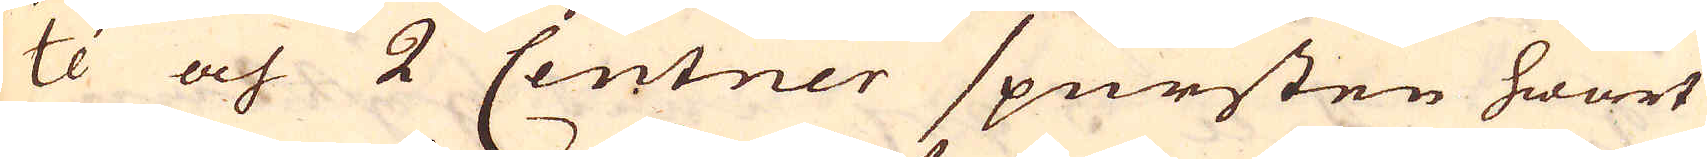té och 2 Centner spursten hwart
